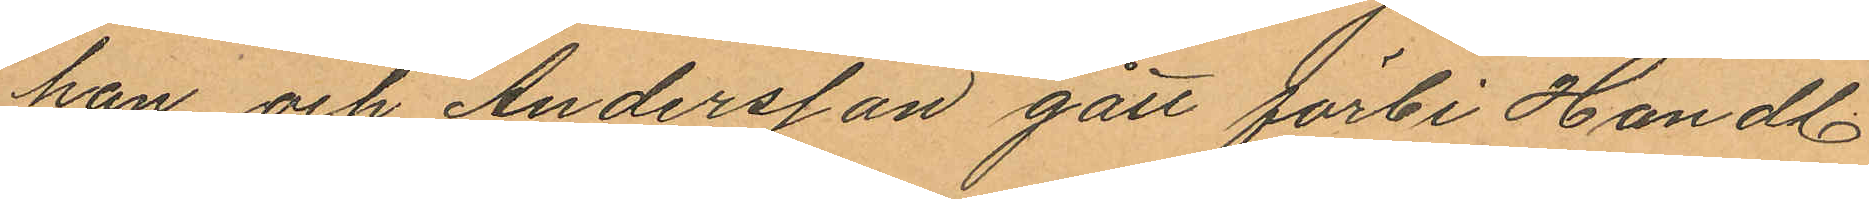han och Andersson gått förbi Handl.
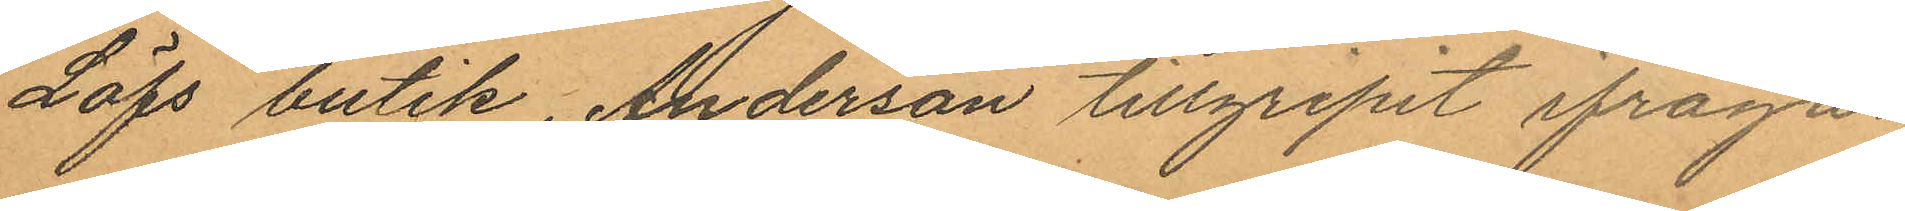Löfs butik, Anderson tillgripit ifråga¬
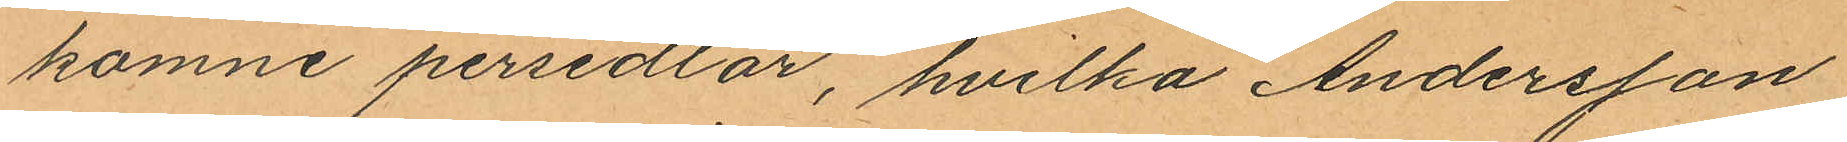komne persedlar, hvilka Andersson
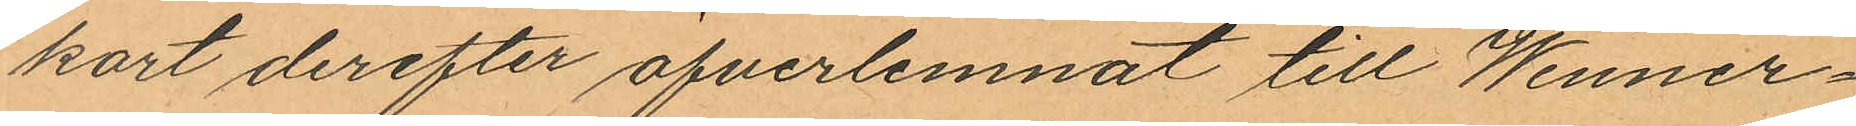kort derefter öfverlemnat till Wenner¬
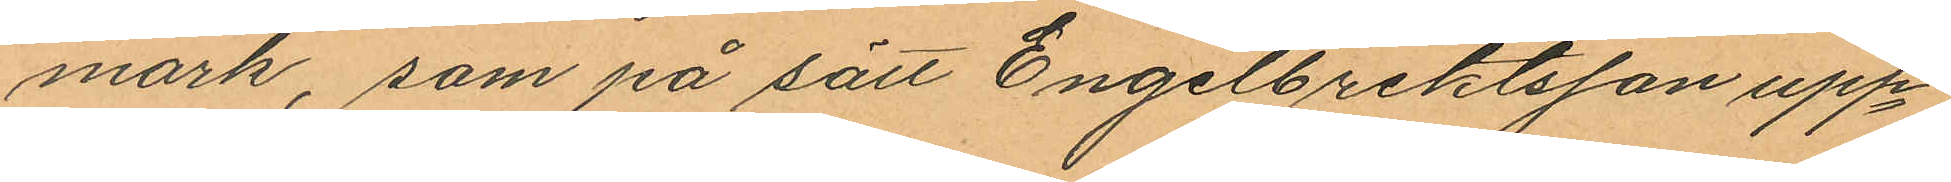mark, som på sätt Engelbrektsson upp¬
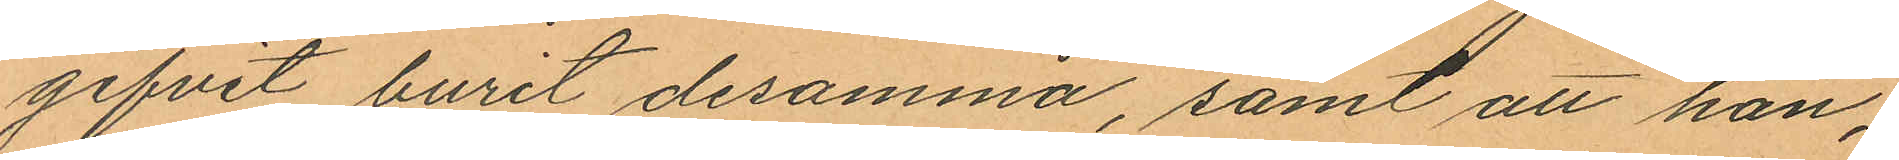gifvit burit desamma, samt att han,
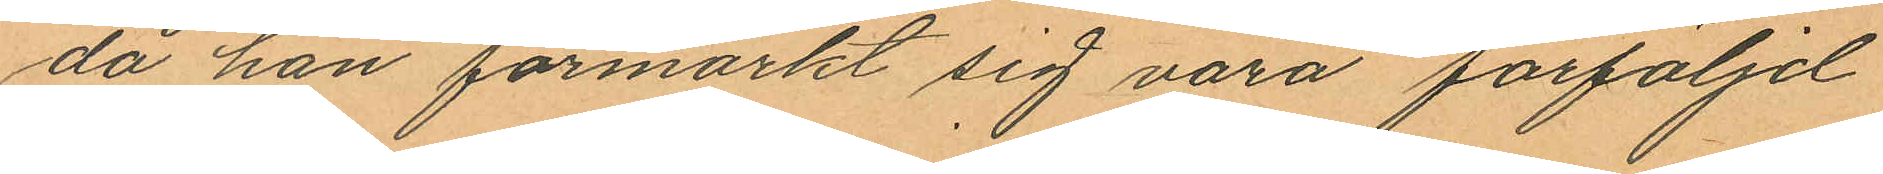då han förmärkt sig vara förföljd
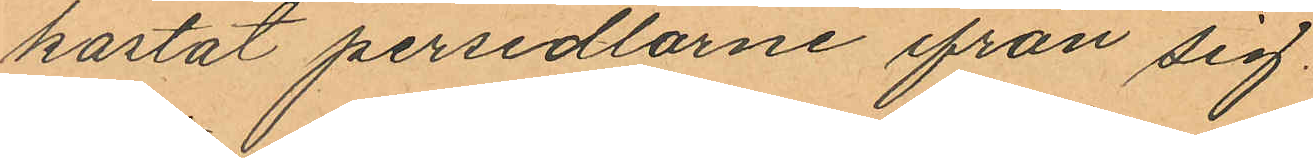kastat persedlarne ifrån sig.
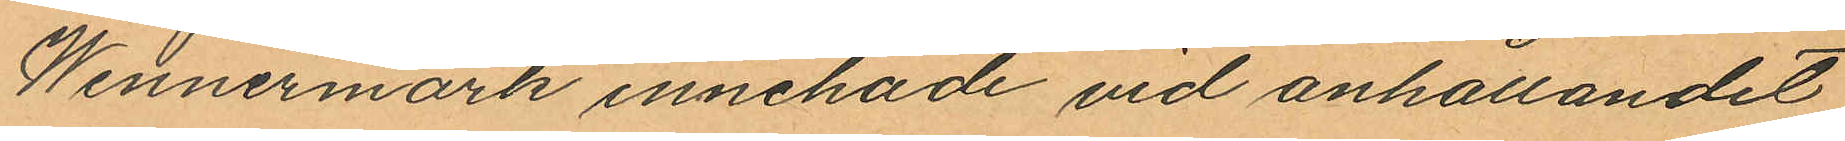Wennermark innehade vid anhållandet
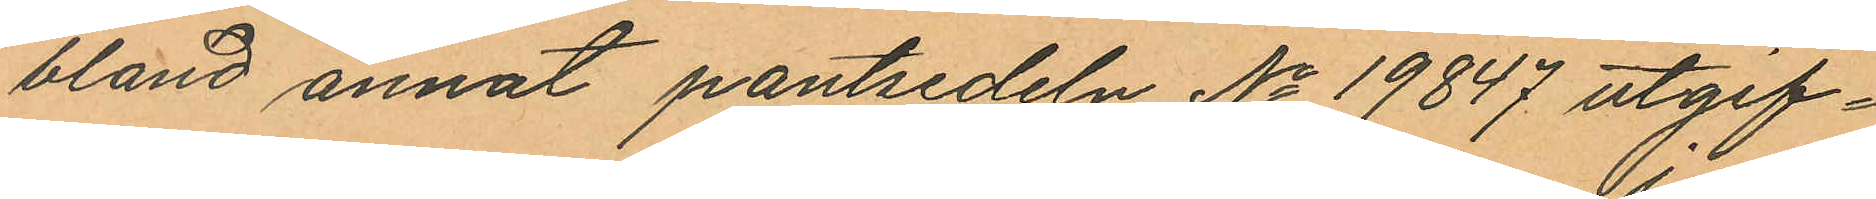bland annat pantsedeln No 19847 utgif¬
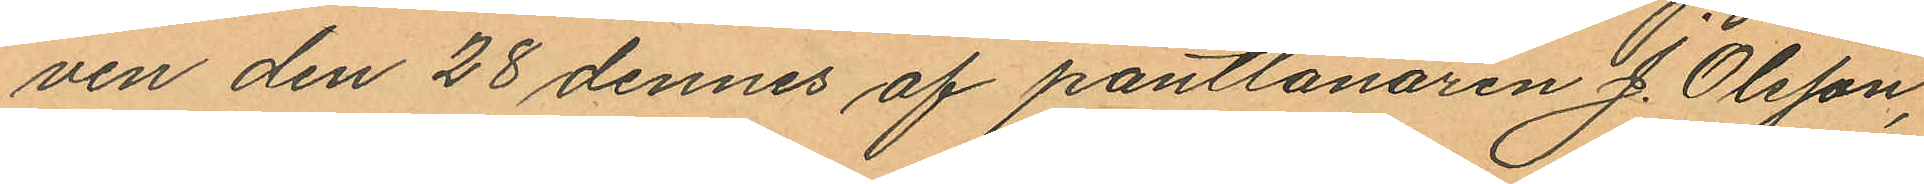ven den 28 dennes af pantlånaren J. Olsson,
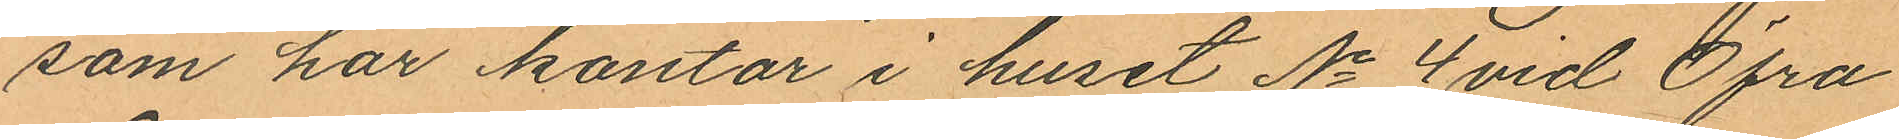som har kontor i huset No 4 vid Öfra
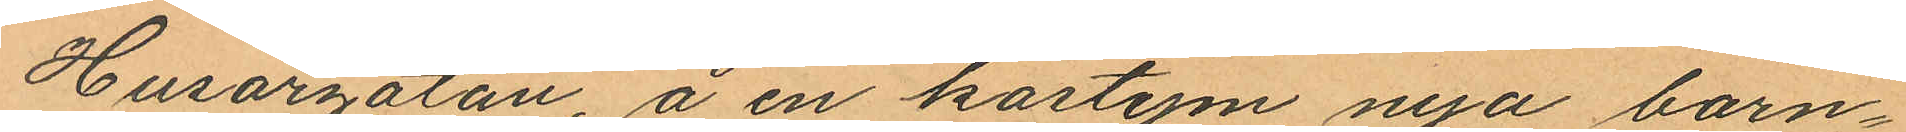Husargatan, å en kostym nya barn¬
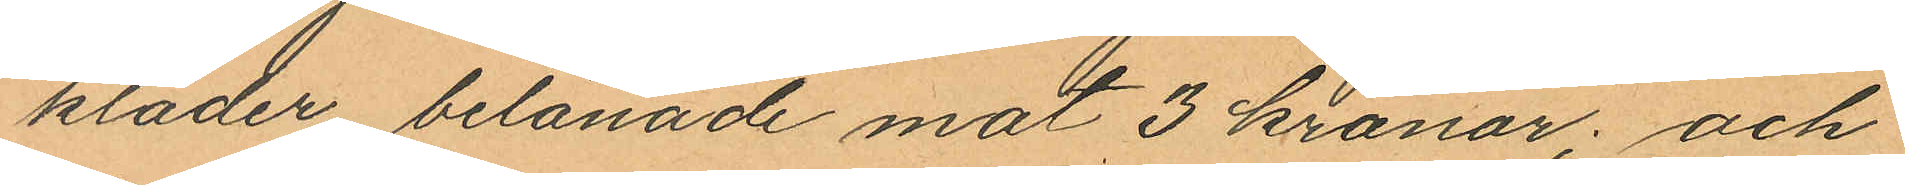kläder belånade mot 3 kronor; och
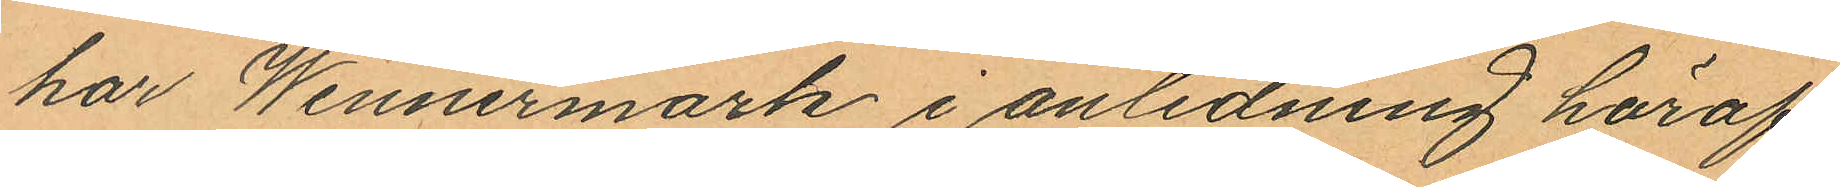har Wennermark i anledning häraf
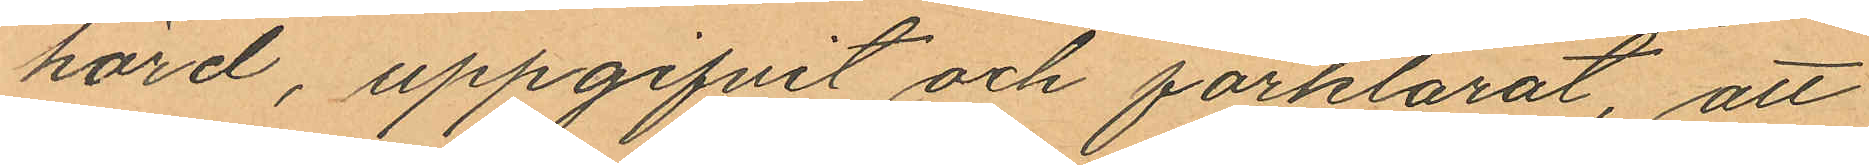hörd, uppgifvit och förklarat att
